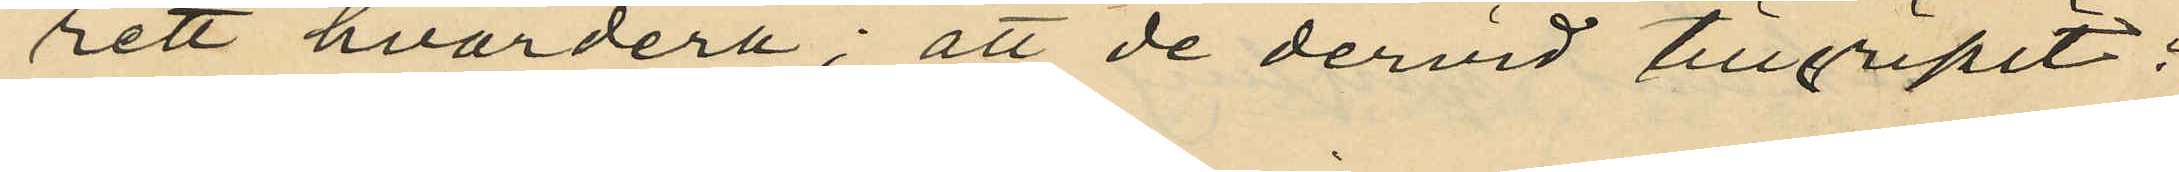rett hvardera; att de dervid tillgripit:
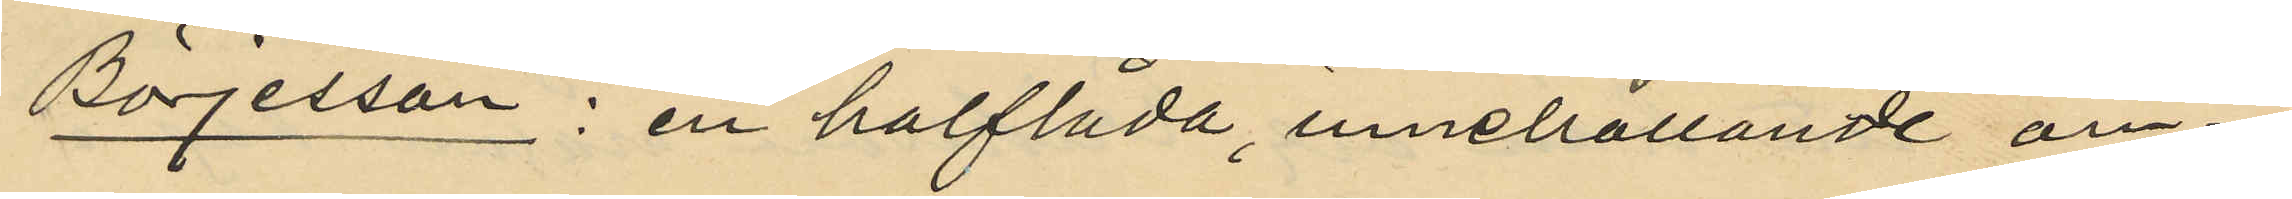Börjesson; en halflåda, innehållande om¬
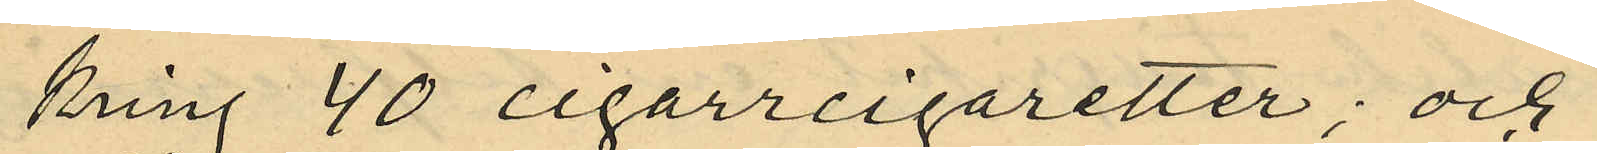kring 40 cigarrcigaretter; och
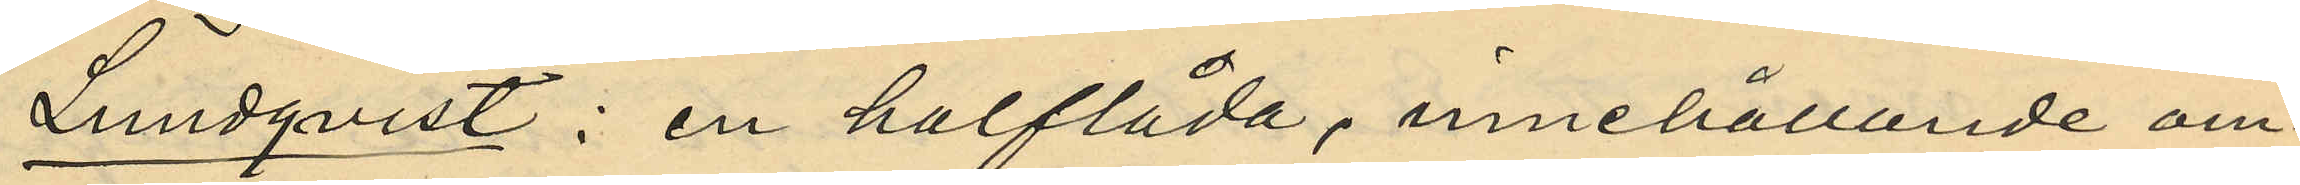Lundqvist: en halflåda, innehållande om¬
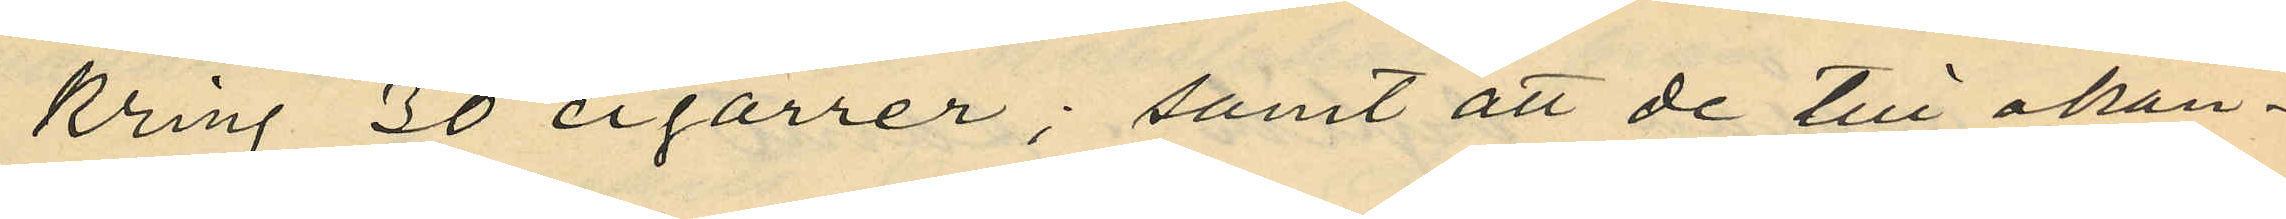kring 30 cigarrer; samt att de till okän¬
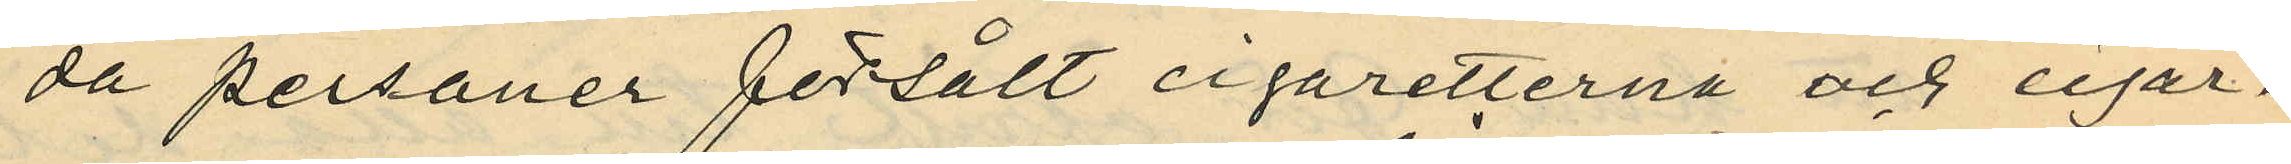da personer försålt cigaretterna och cigar¬
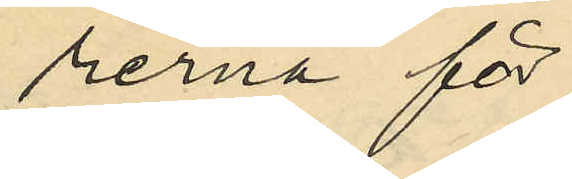rerna för
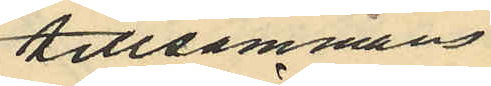tillsammans
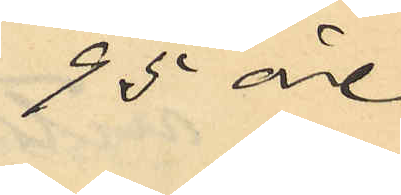95 öe
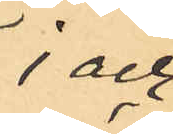 och
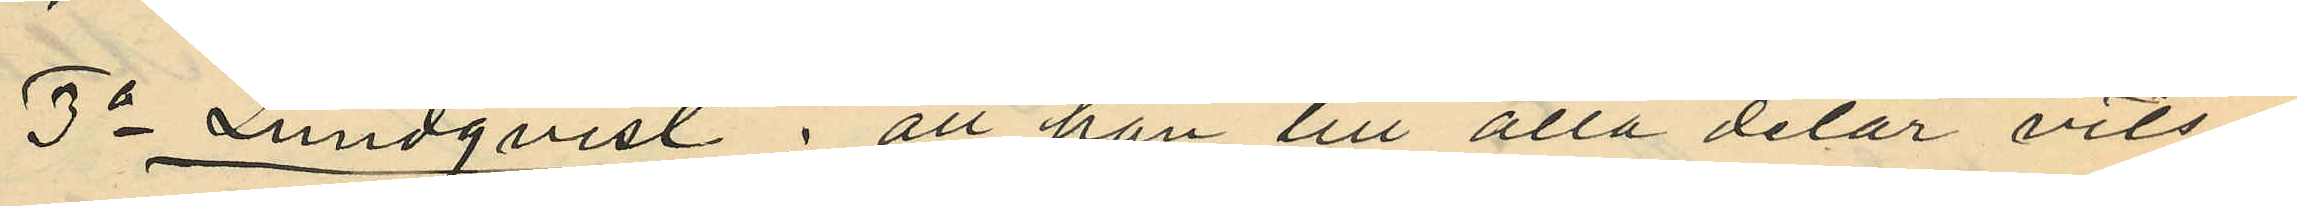3o Lundqvist: att han till alla delar vits¬
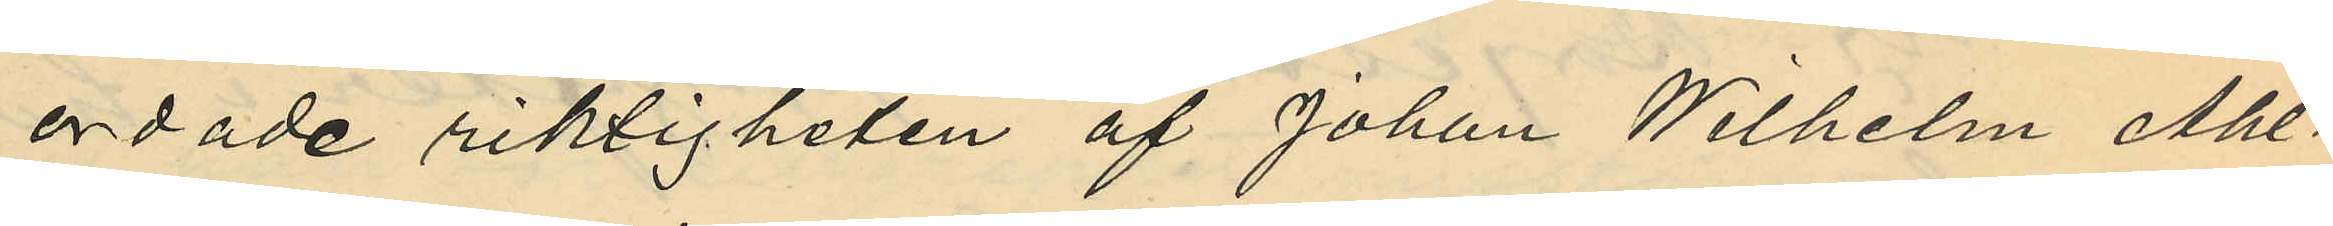ordade riktigheten af Johan Wilhelm Ahl¬
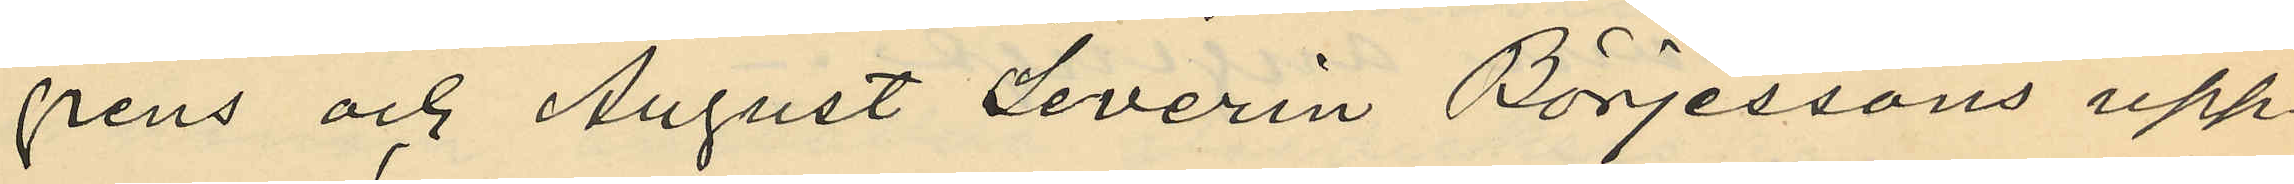grens och August Severin Börjessons upp¬
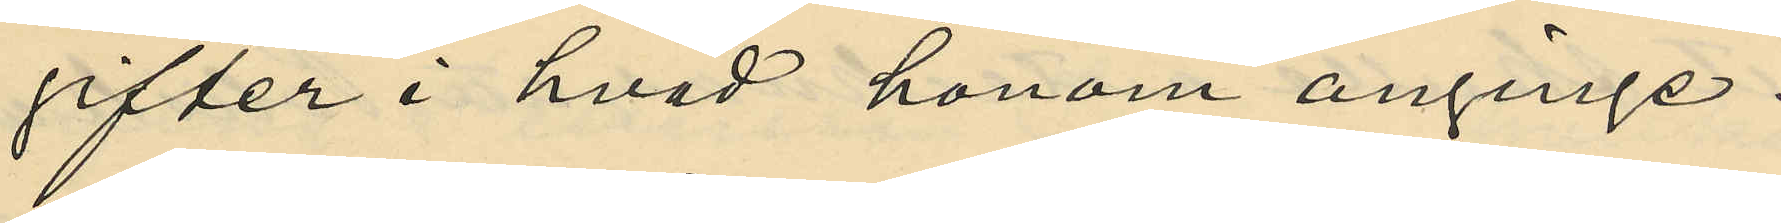sifter i hvad honom anginge.
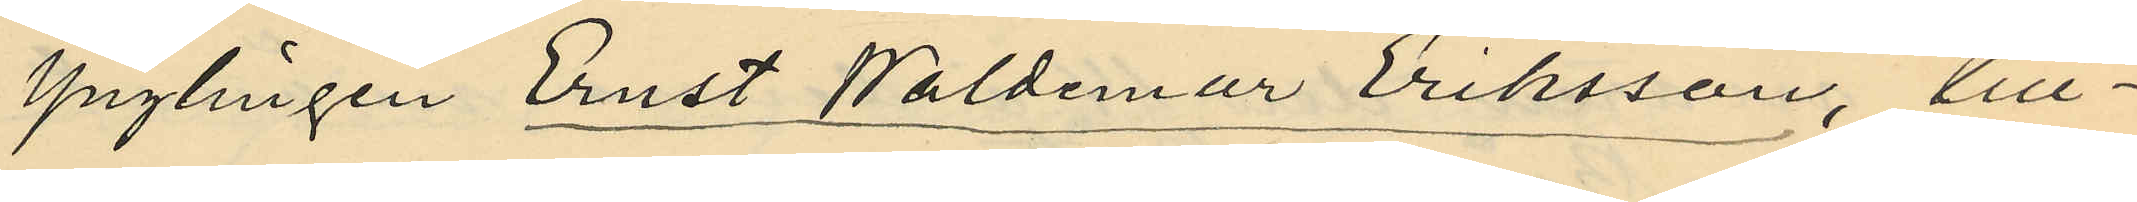Ynglingen Ernst Waldemar Eriksson, till¬
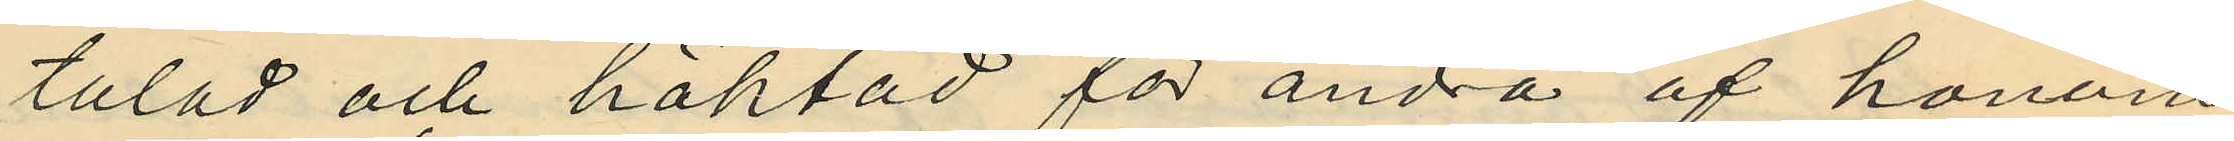talad och häktad för andra af honom
